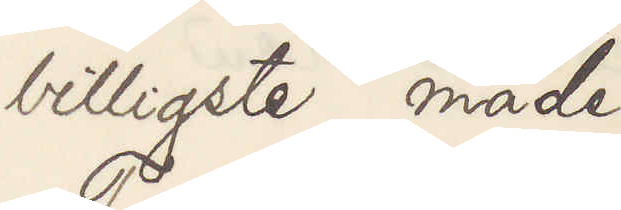billigste måde.
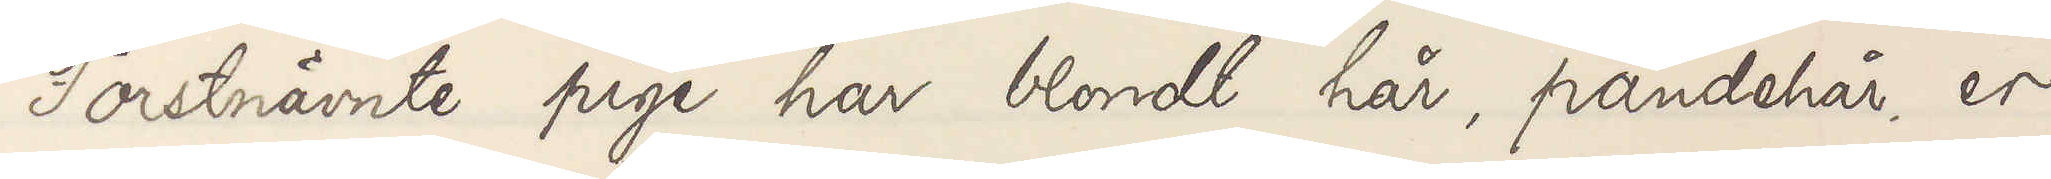Forstnävnte pige har blondt hår, pandehår, er
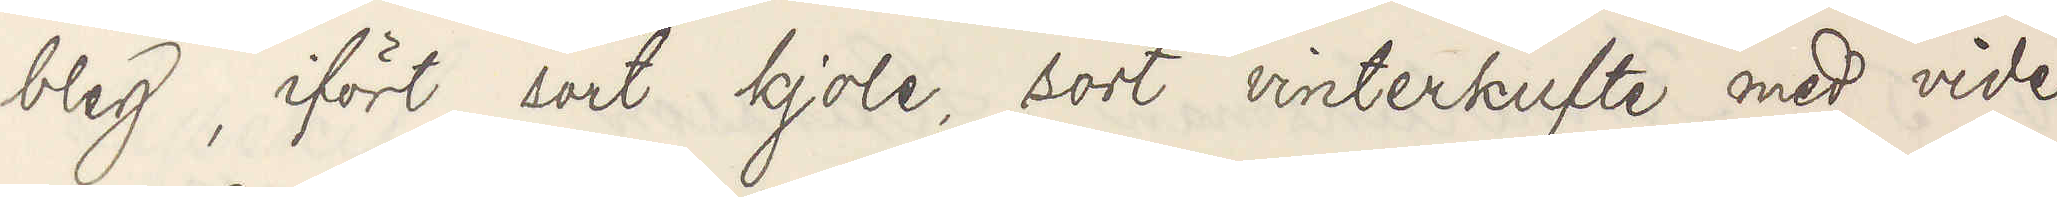bleg, ifört sort kjole, sort vinterkufte med vide
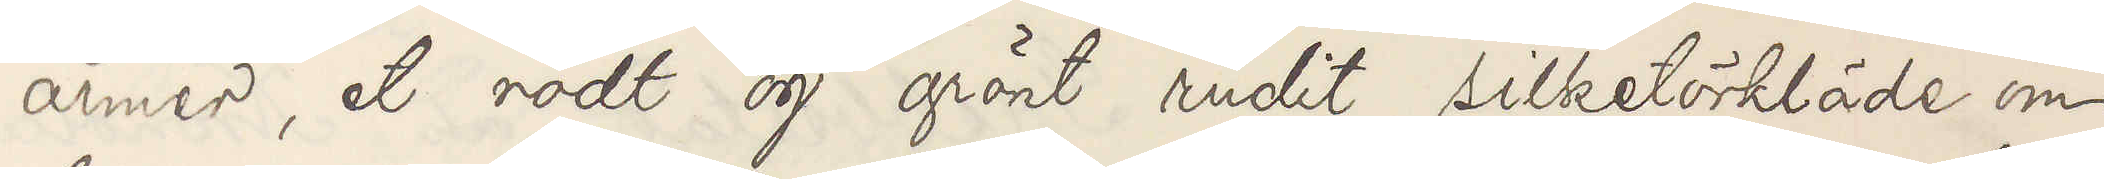armer, et rödt og grönt rudit silketörkläde om
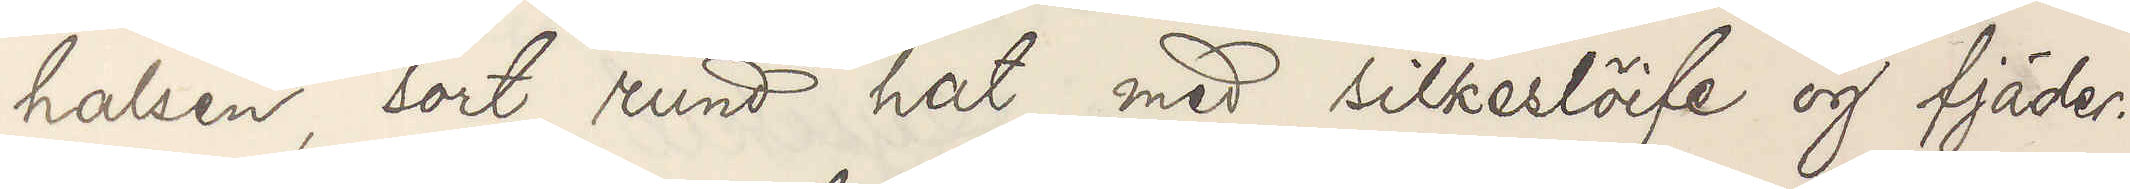halsen, sort rund hat med silkeslöife og fjäder.
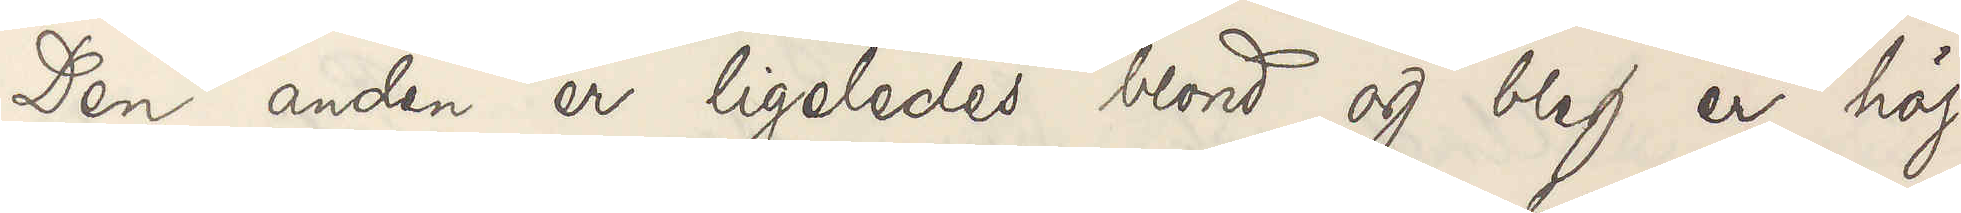Den anden er ligeledes blond og bleg er höi
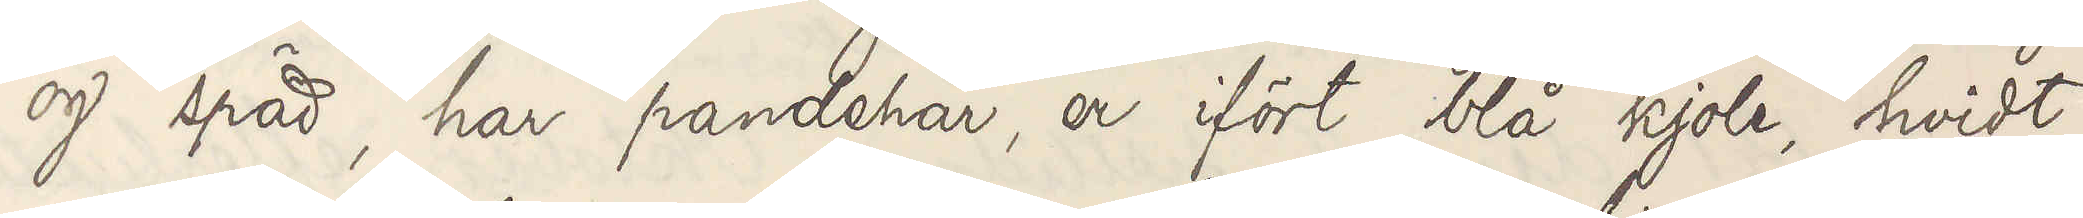og späd, har pandehår, er ifört blå kjole, hvidt
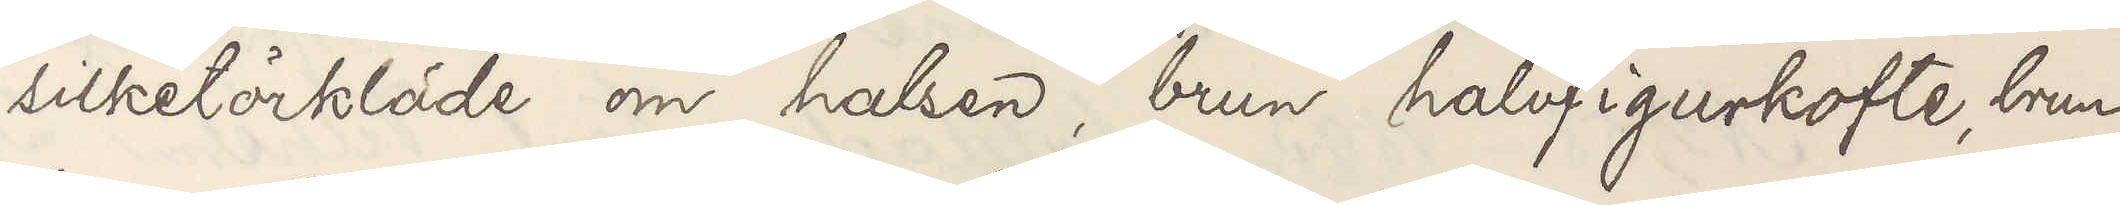silketörkläde om halsen, brun halvfigurkofte, brun
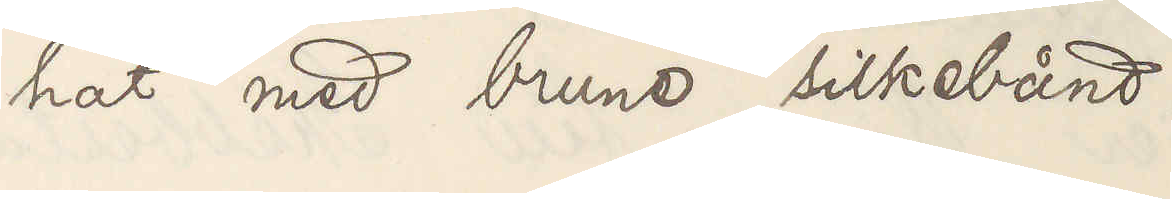hat med brune silkebånd.
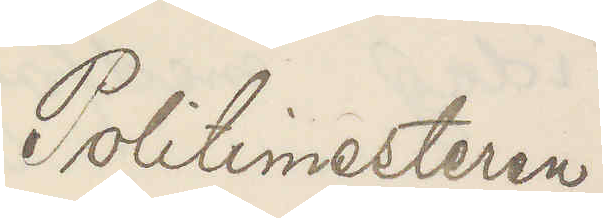Politimesteren
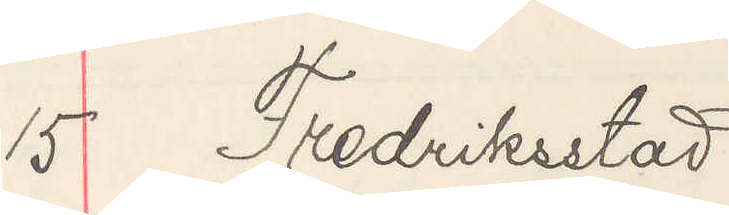15 Fredriksstad
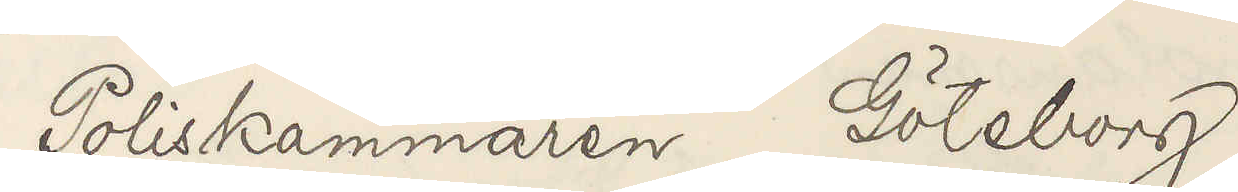Poliskammaren Göteborg
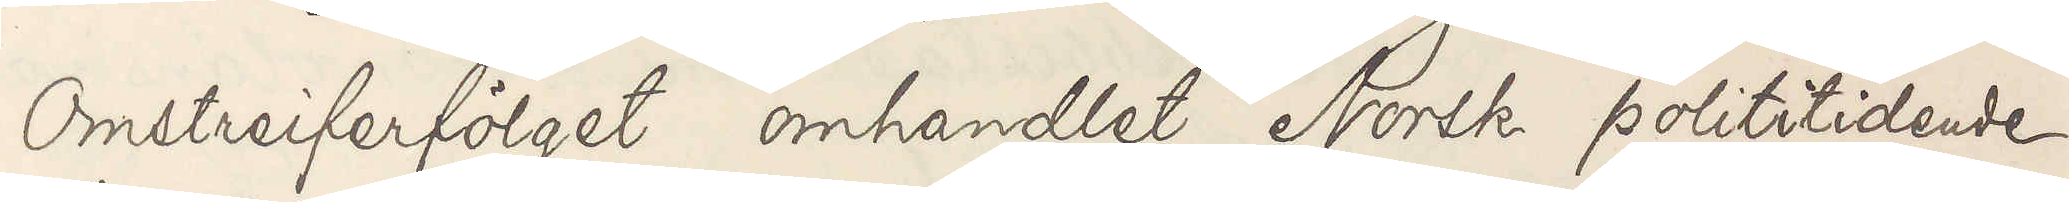Omstreiferfölget omhandlet Norsk polititidene
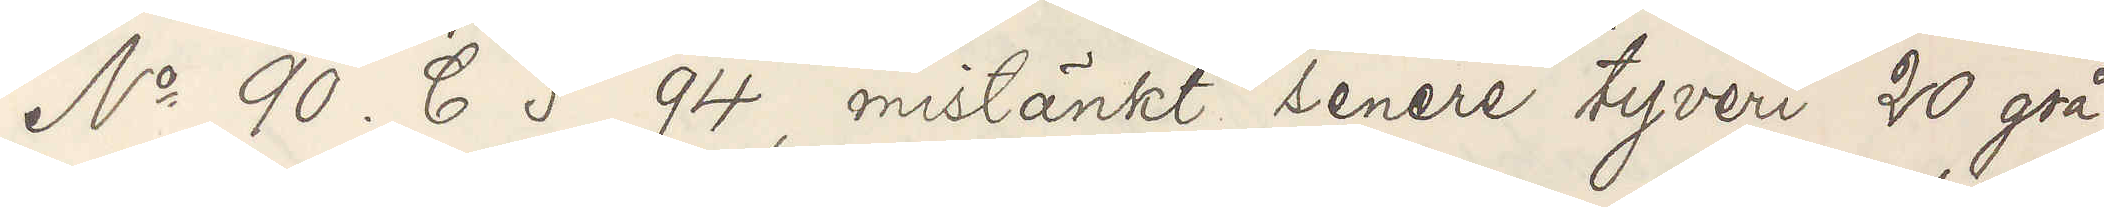No 90. C5 94, mistänkt senere tyveri 20 grå
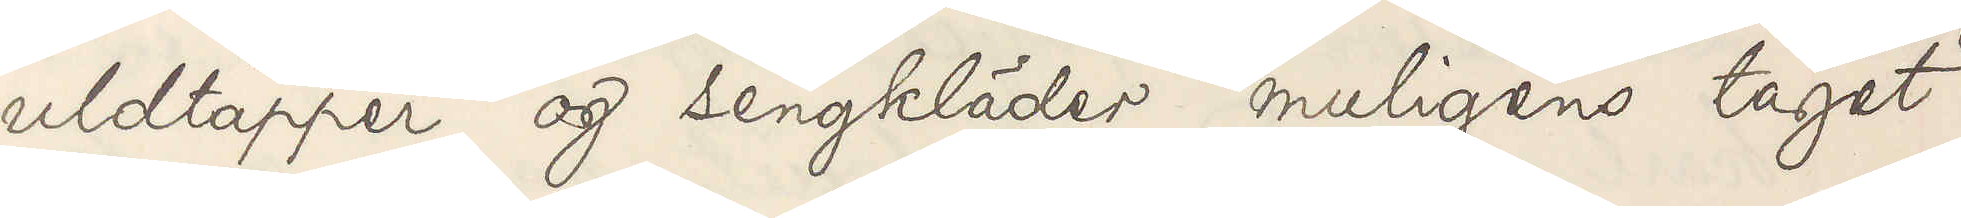uldtäpper og sengkläder muligens taget
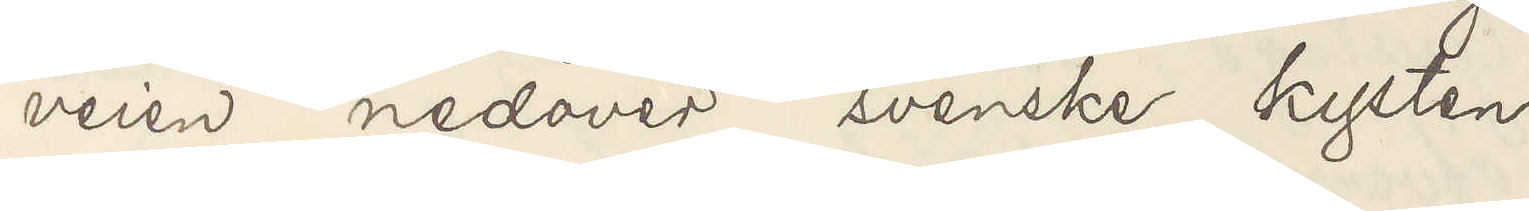veien nedover svenske kysten
